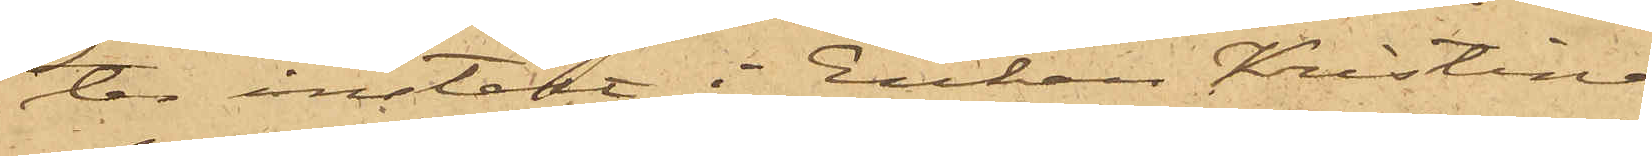ter instält i Enkan Kristina
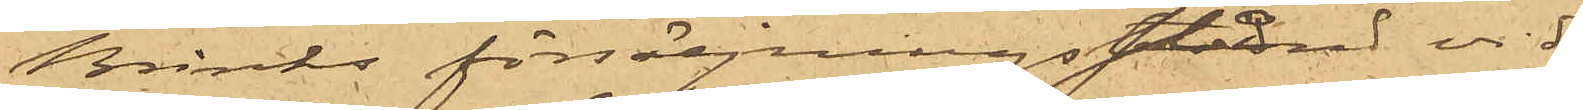Brinks försäljningsstånd vid
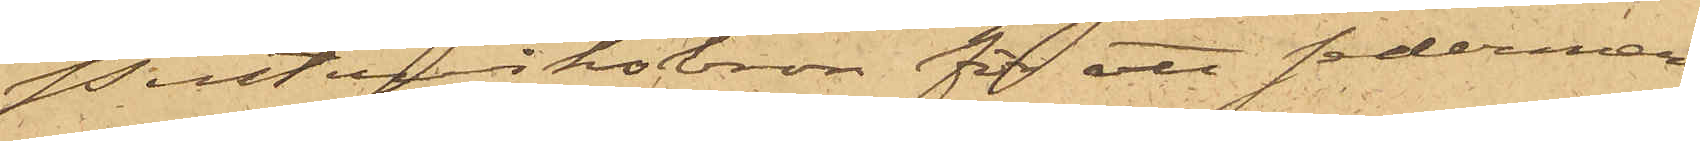Pusterviksbron för att sederme¬
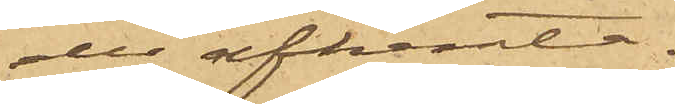ra afhemta.
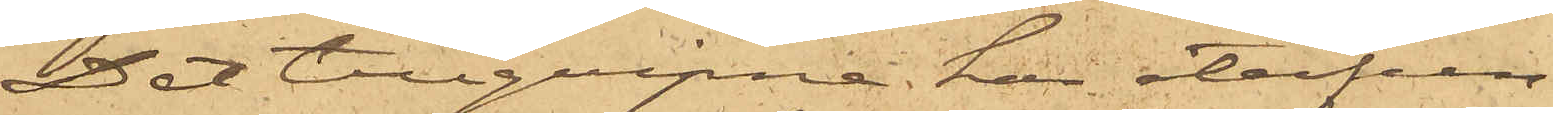Det tillgripne har återfun¬
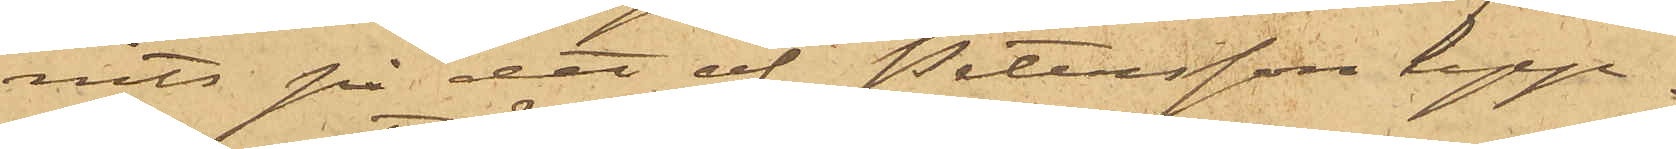nits på det af Petersson upp¬
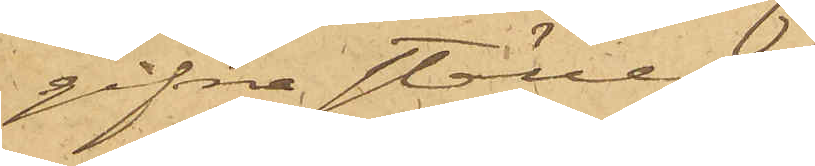gifna ställe.
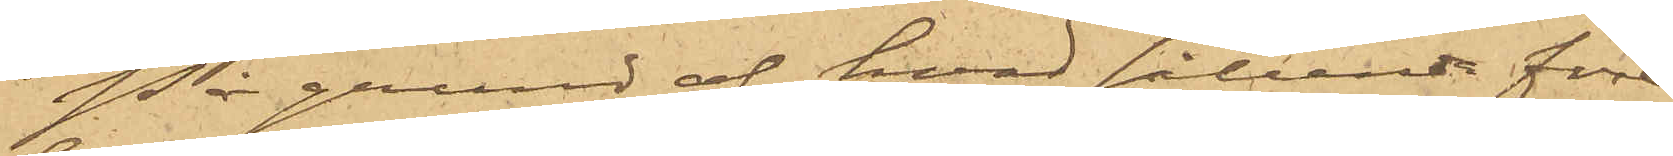På grund af hvad sålunda före¬
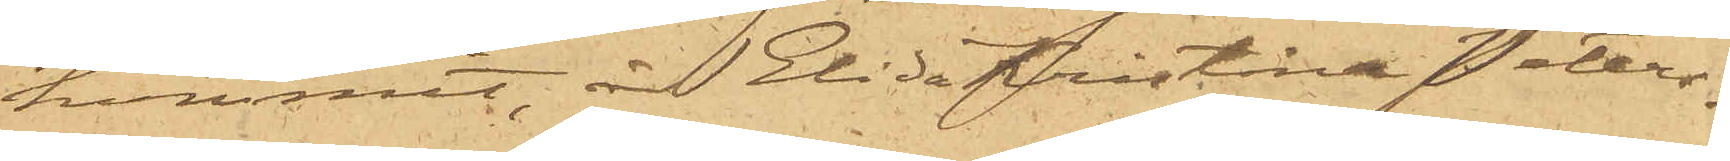kommit, är Elida Kristina Peters¬
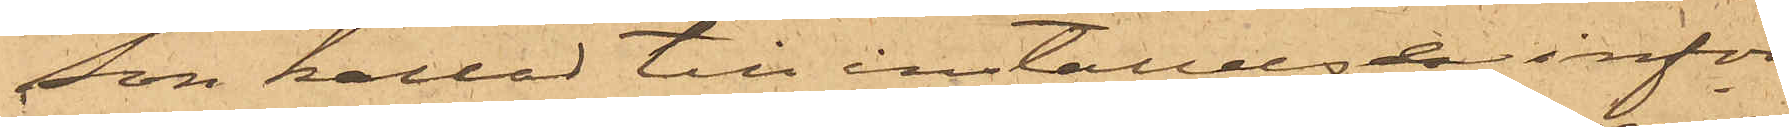son kallad till inställelse inför
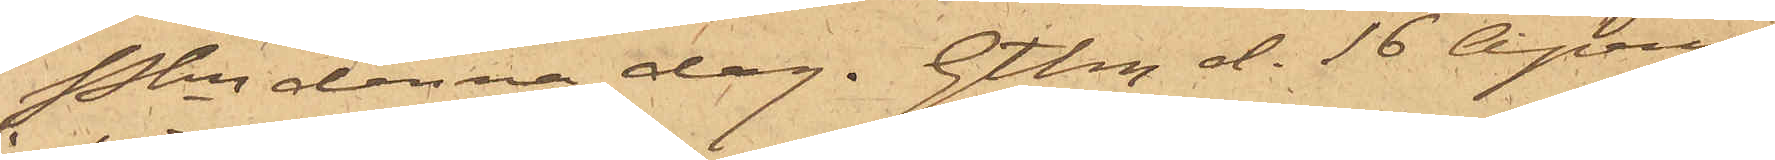Pkn denna dag. Gtbg d. 16 April
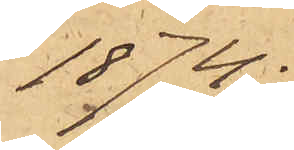1874.
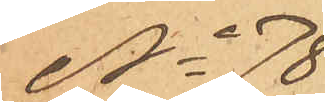No 78
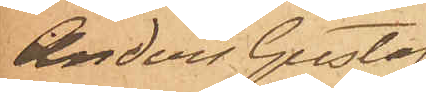Anders Gustaf
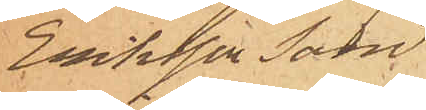Eriksson Sand¬
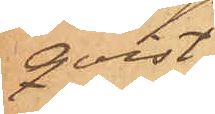qvist.
